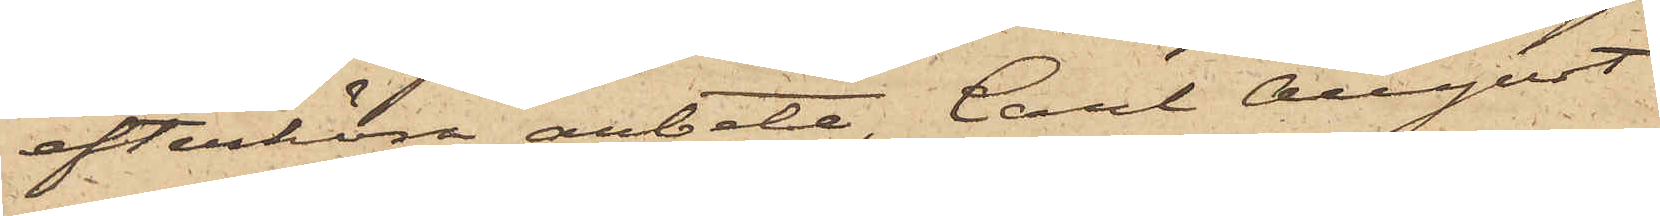efterhöra arbete, Carl August
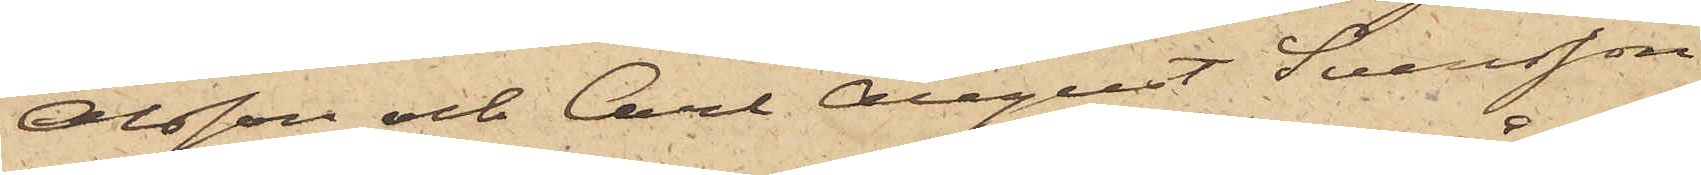Olsson och Carl August Svensson
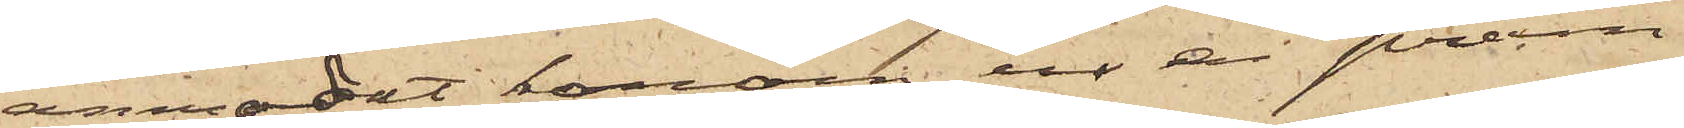anmodat honom ur en pråm
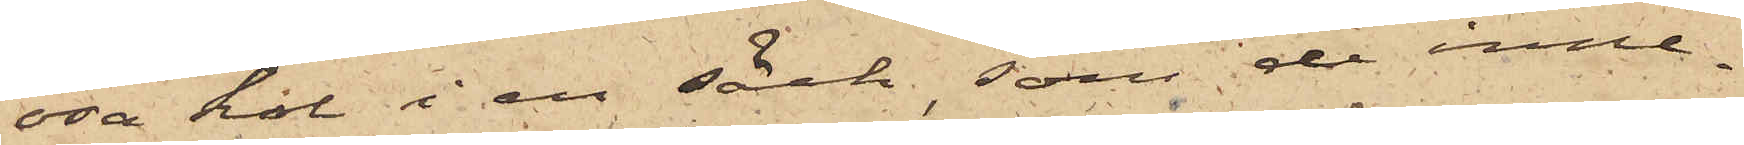ösa kol i en säck, som de inne¬
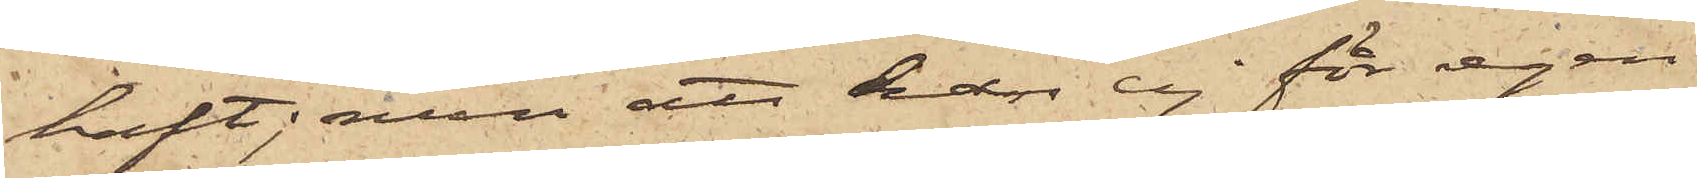haft, men att han ej för egen
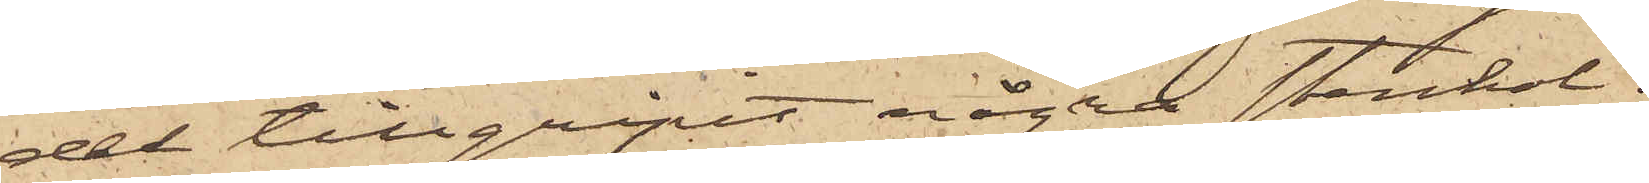del tillgripit någon stenkol;
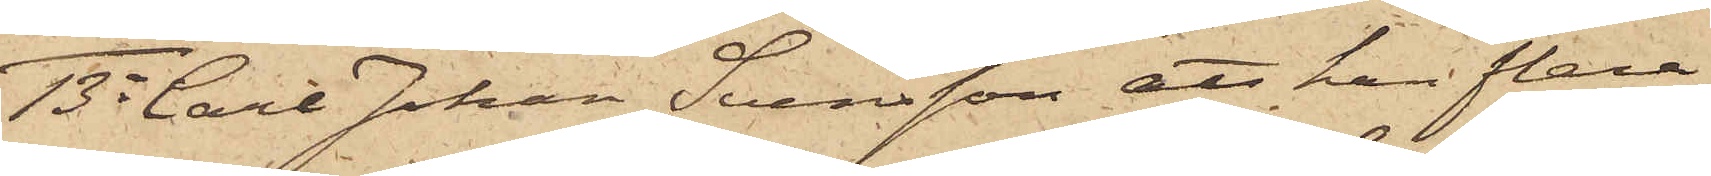13o Carl Johan Svensson att han flera
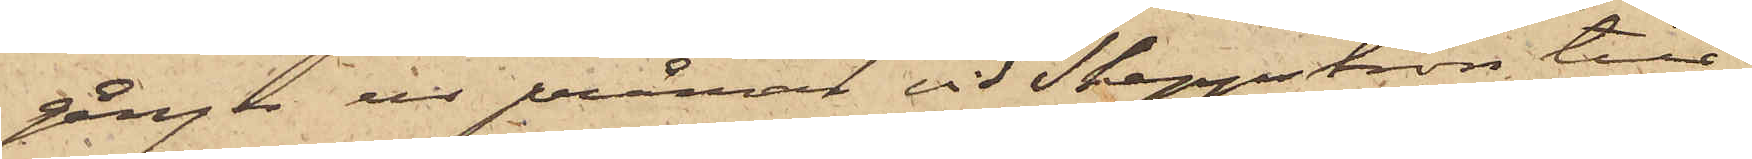gånger ur pråmar vid Skeppsbron till¬
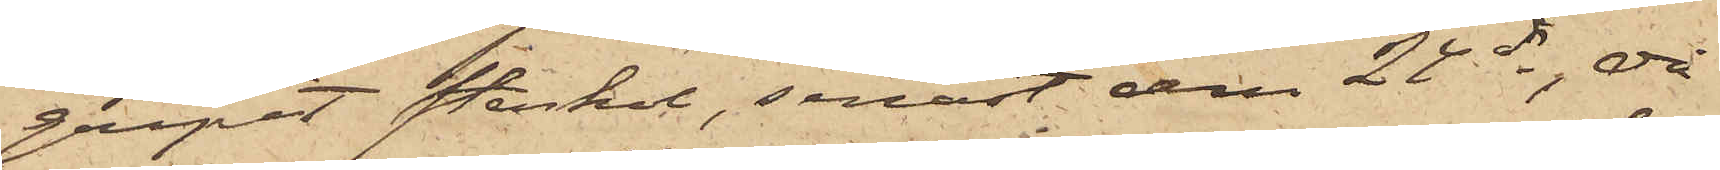gripit stenkol, senast den 24 ds, då
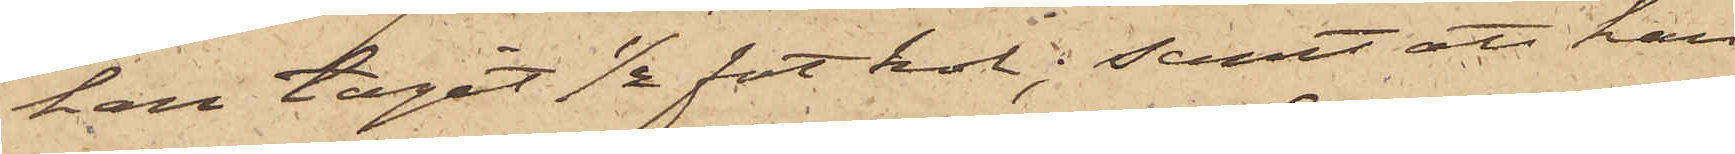han tagit ½ fot kol; samt att han
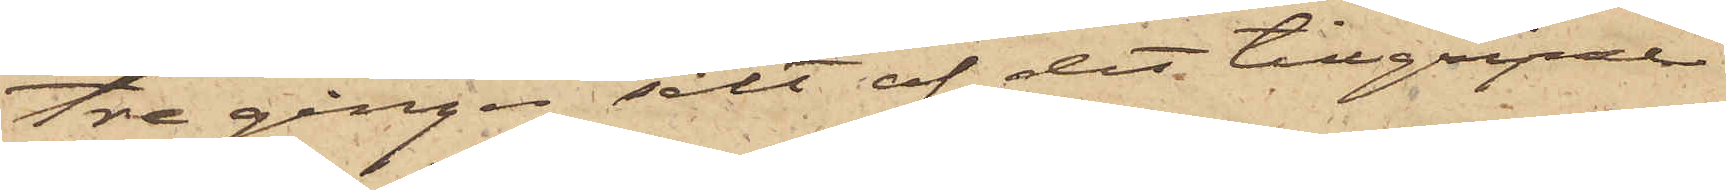tre gånger sålt af det tillgripne
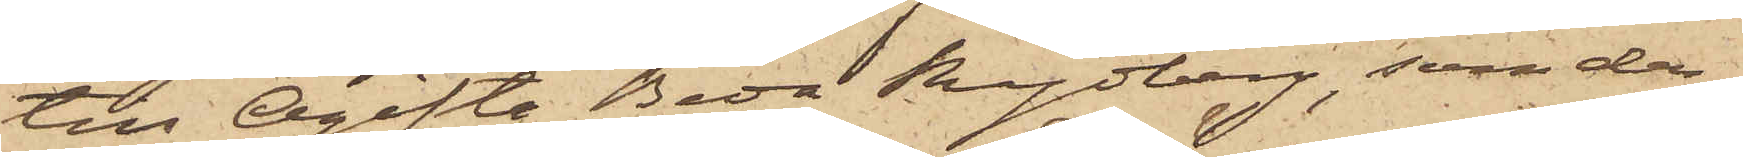till Ogifta Beda Rydberg, som der¬
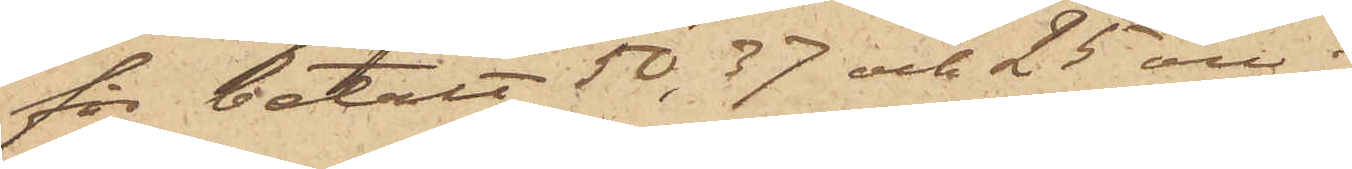för betalt 50, 37 och 25 öre;
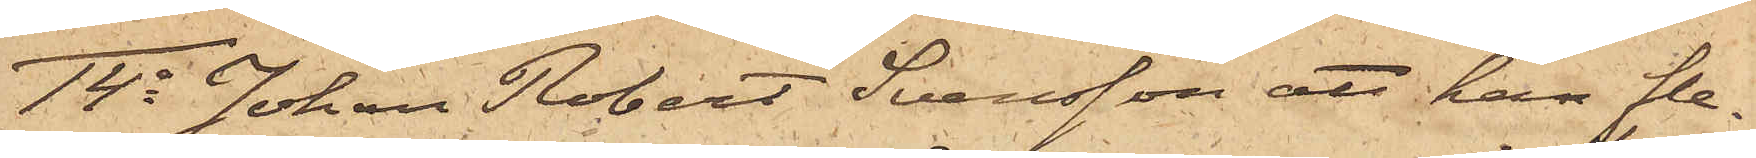14o Johan Robert Svensson att han fle¬
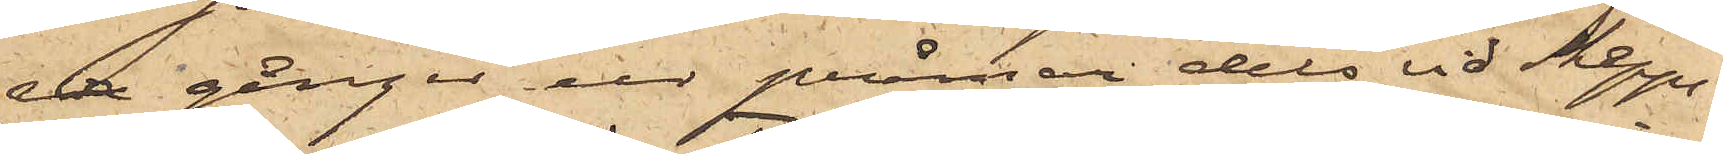ra gånger ur pråmar dels vid Skepps¬
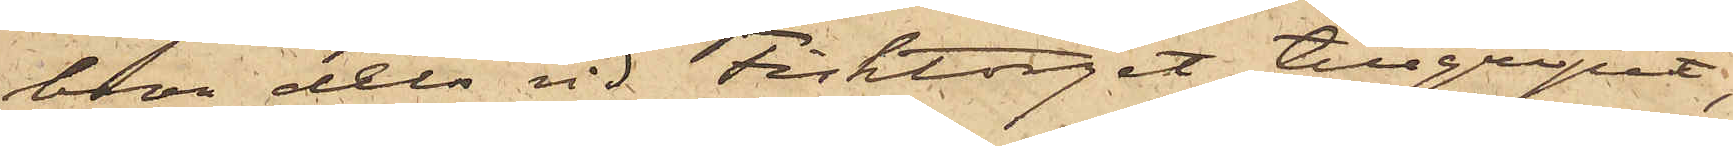bron dels vid Fisktorget tillgripit,
